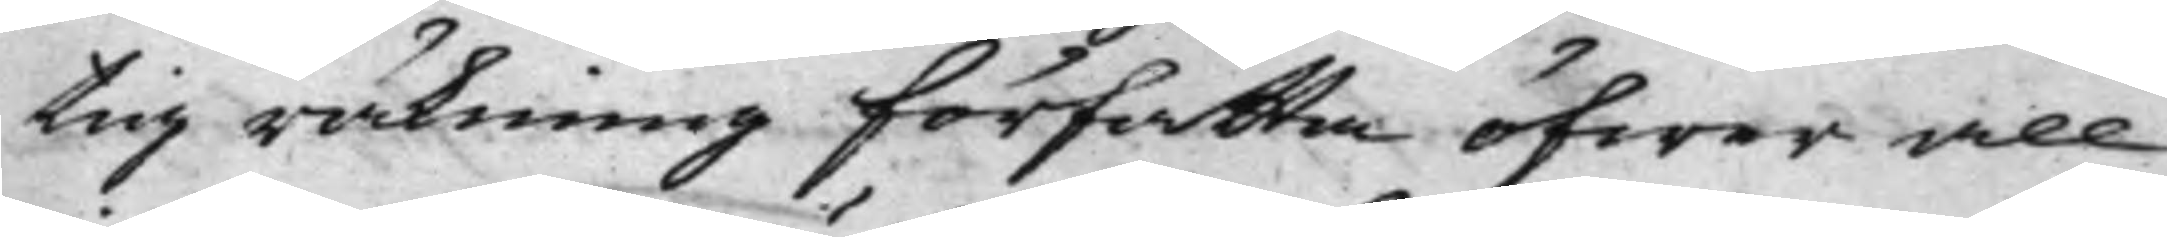tig räkning författa öfwer all
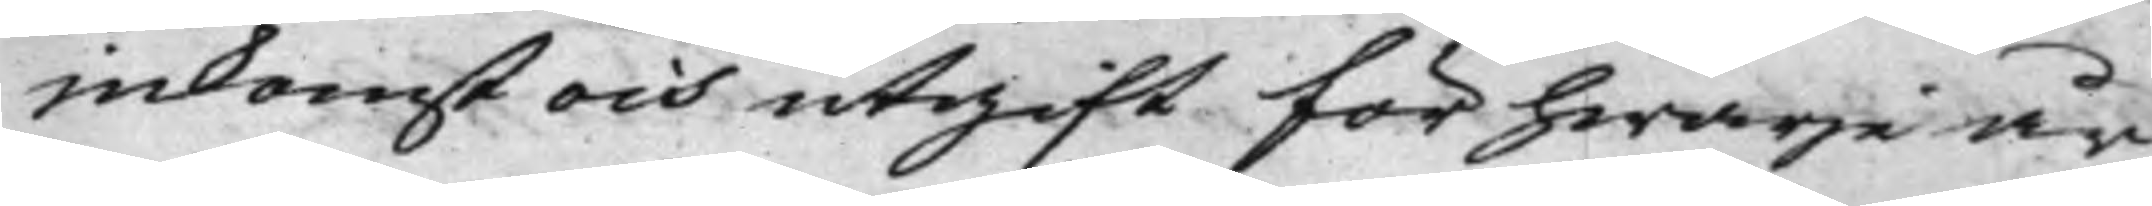inkomst och utgift för hwarje år,
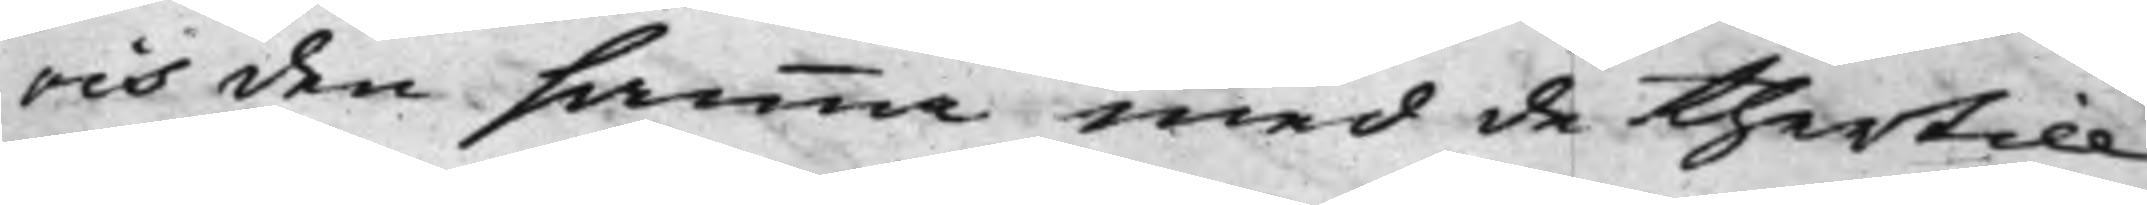och den sammma med de thertill
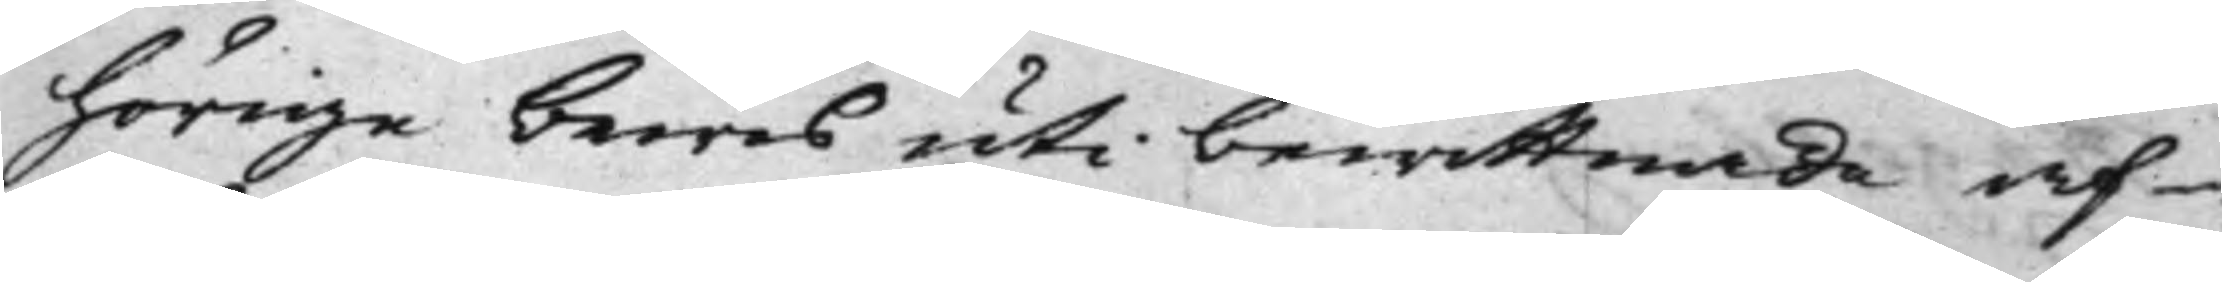hörige bewis uti bewittnade af¬
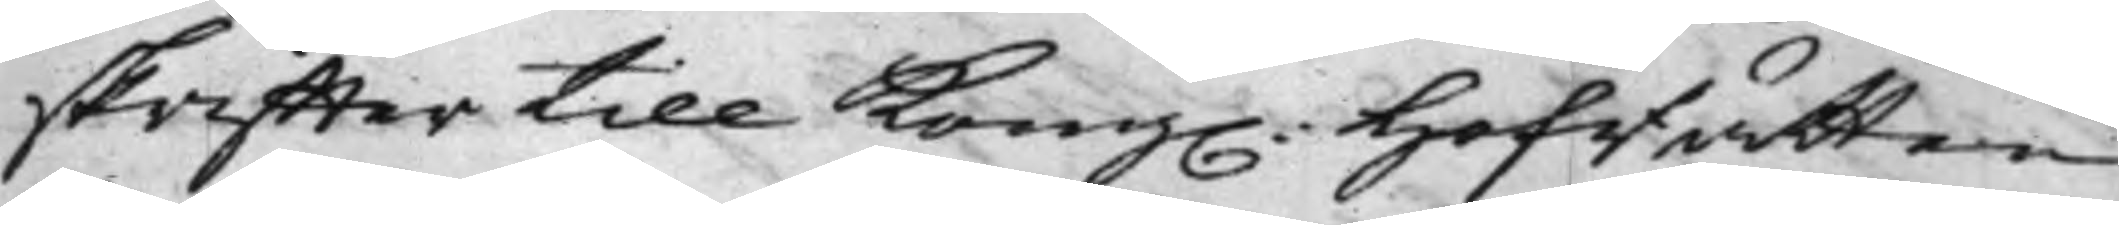skriffter till Kong. Hofrätten
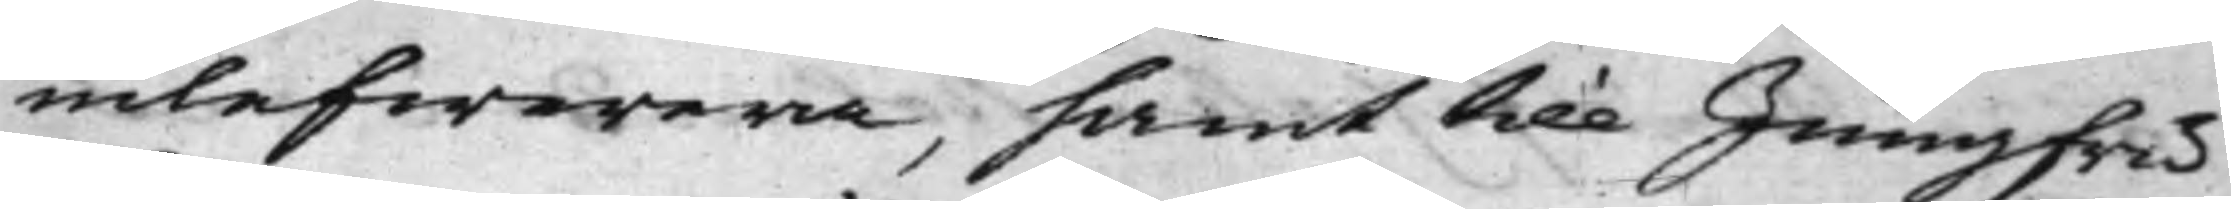inlefwerera, samt till Jungfru
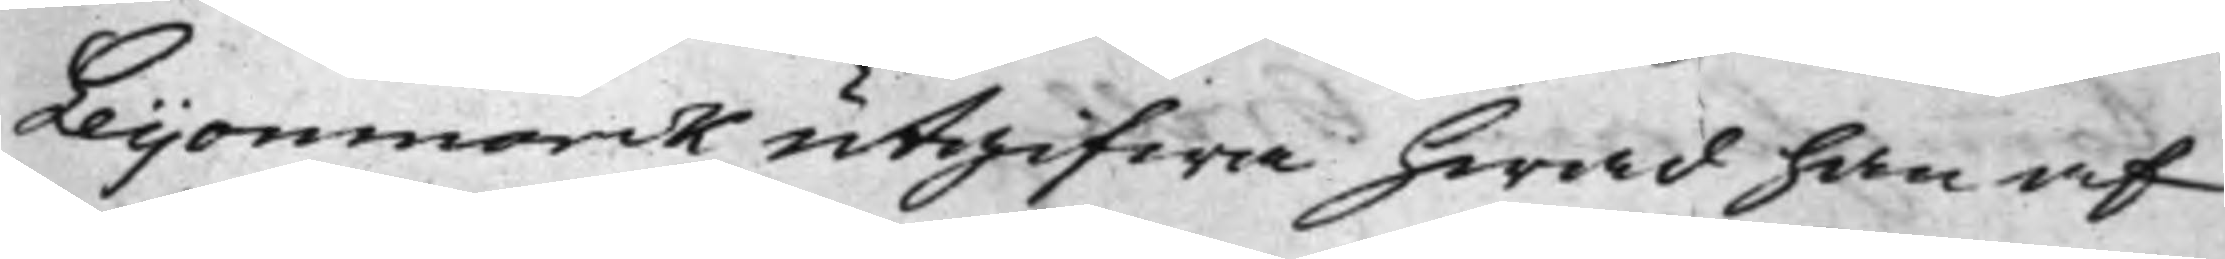Leijonmarck utgifwa hwad han af
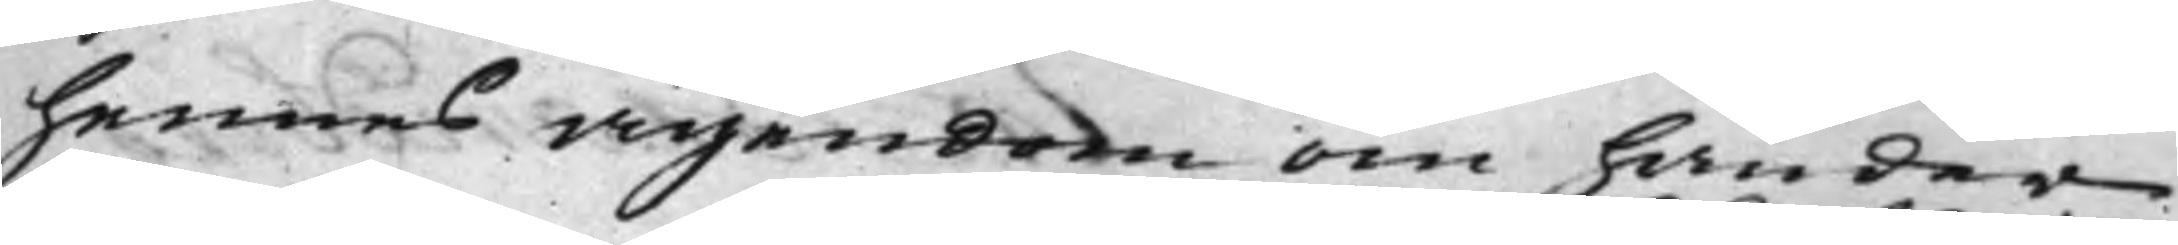hennes ägendom om händer
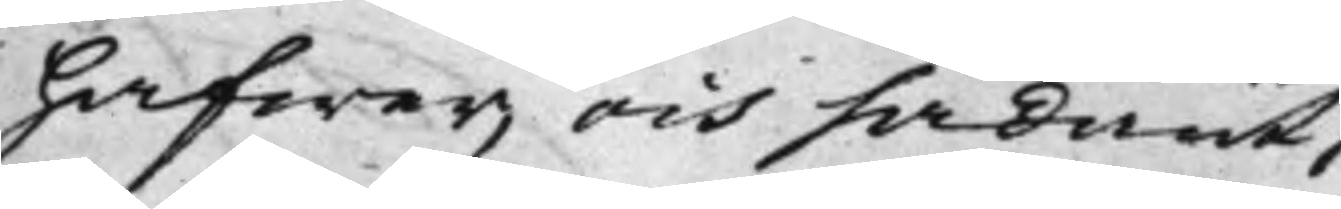hafwer, och sådant
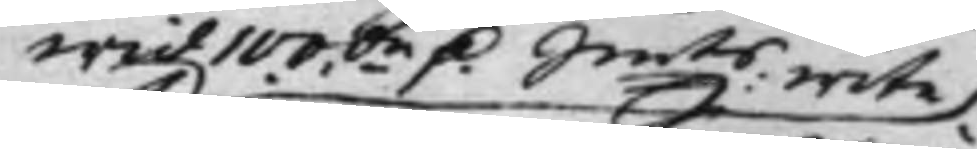wid 100.de D. Smtz wite
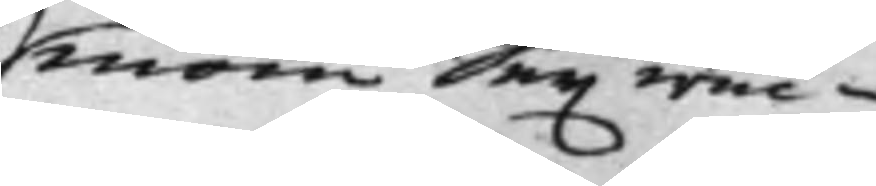inom Sex wec¬
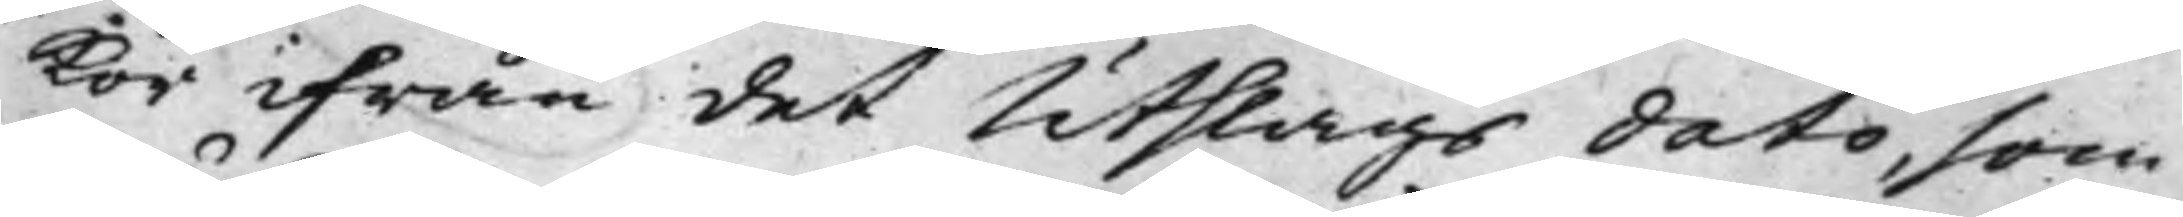kor ifrån det Utslags dato, som
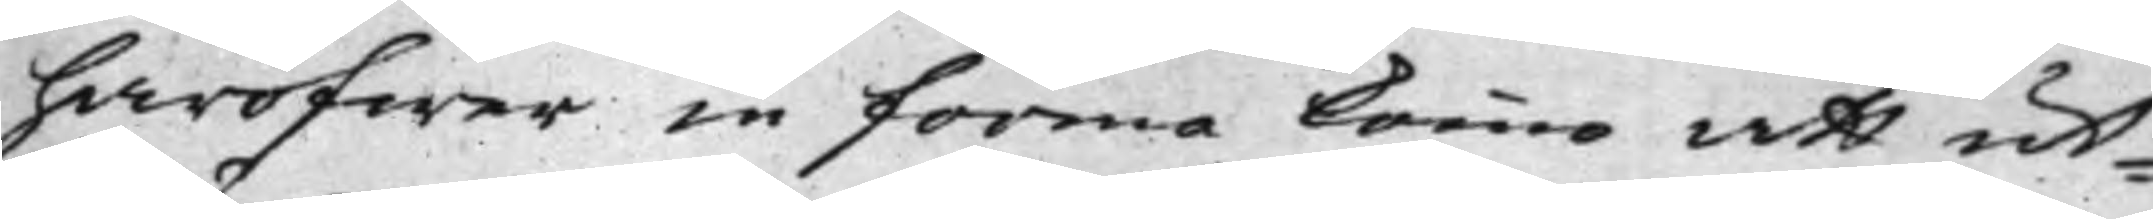häröfwer in forma kommo att ut¬
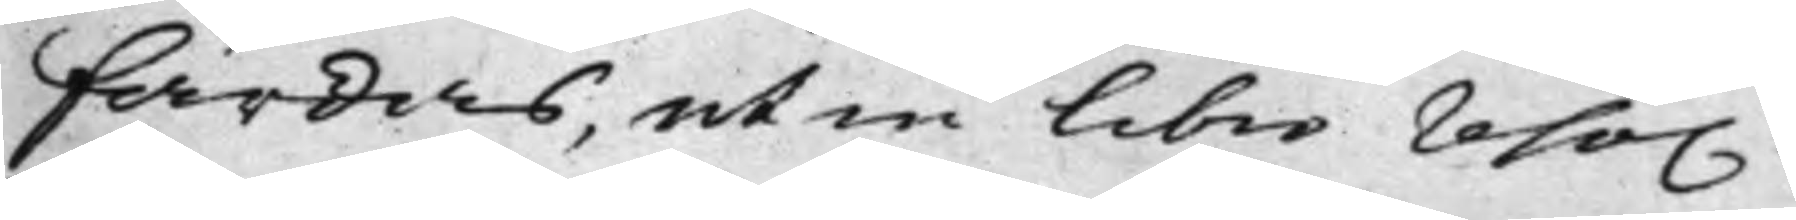färdas, ut in libro reso.
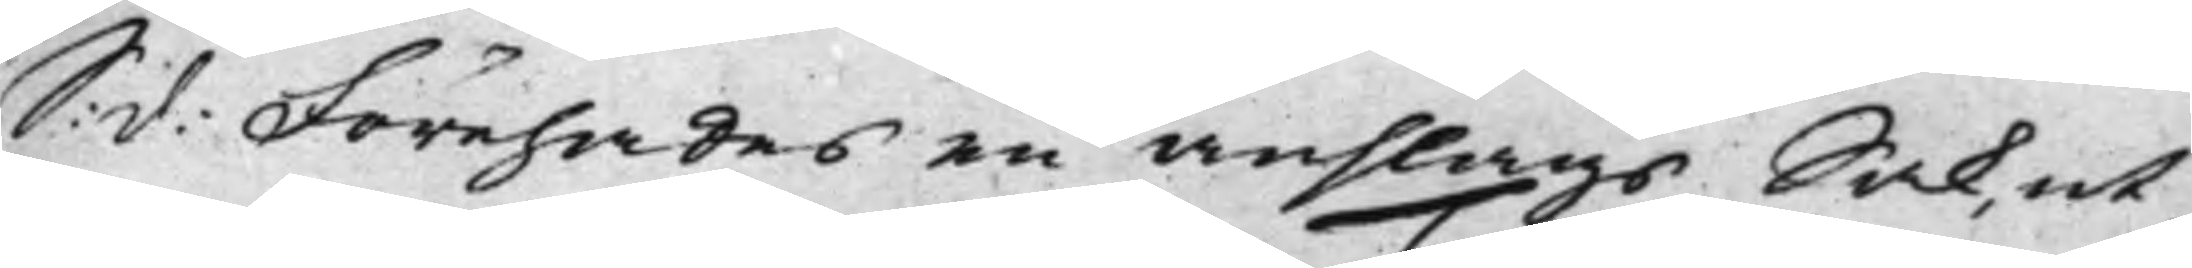S: d: Förehades en anslags Sak, ut
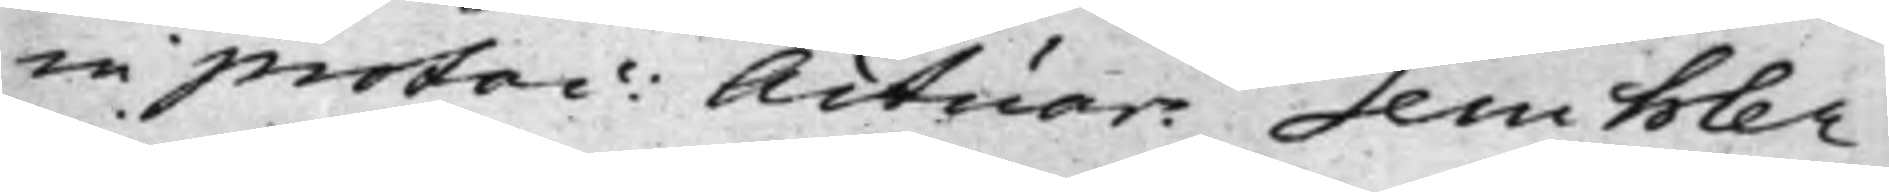in protoc: Actuar: Teuchler.
